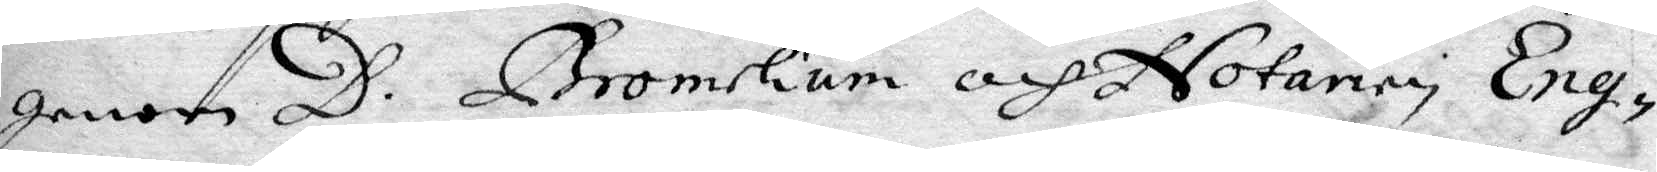genom D. Bromelium och Notarien Eng¬
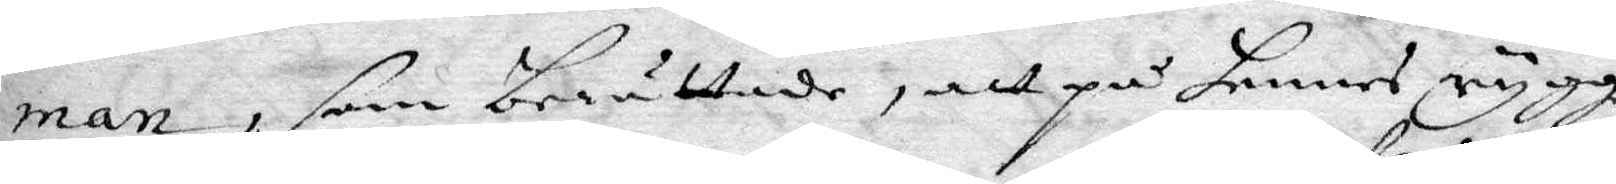man, som berättade, att på hennes rygg
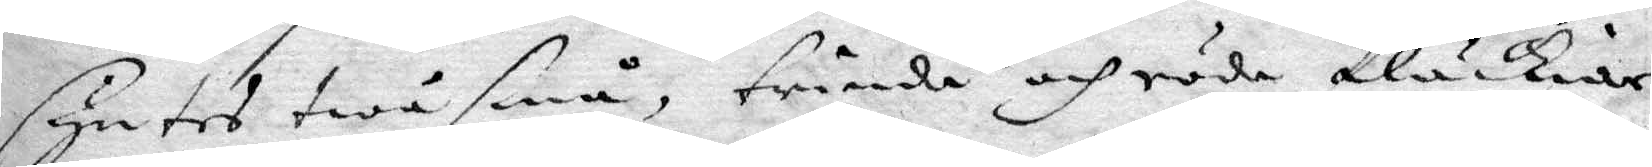syntes två små, triende och röda fläckiar
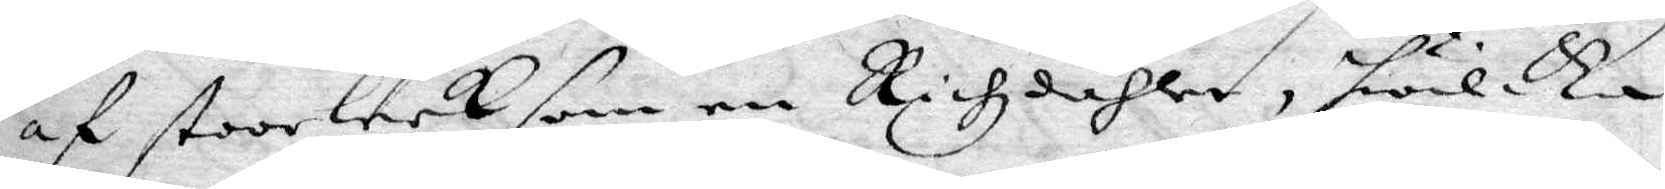af stoorleek som en Rikzdahler, hwilkea
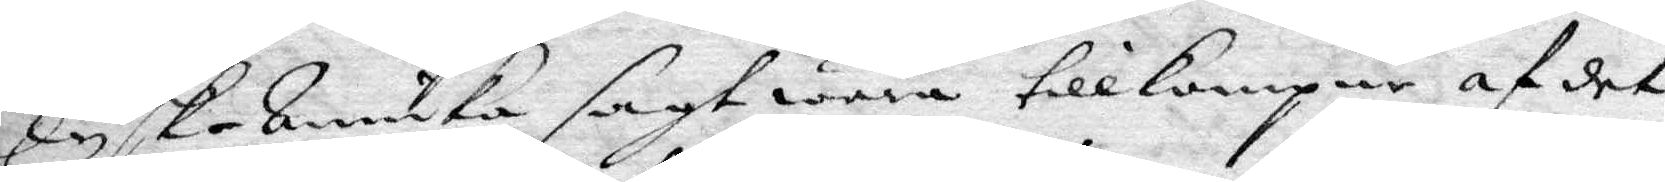Tysk-Annika sagt wara tillkompne af det
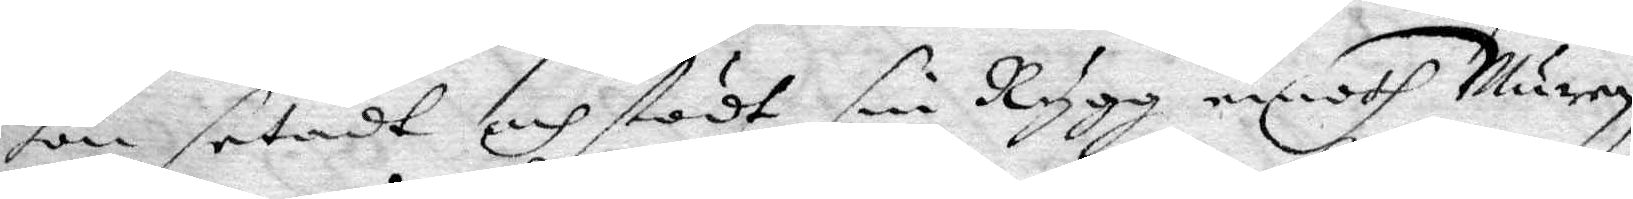hon setat och stödt sin Rygg emoth Muren
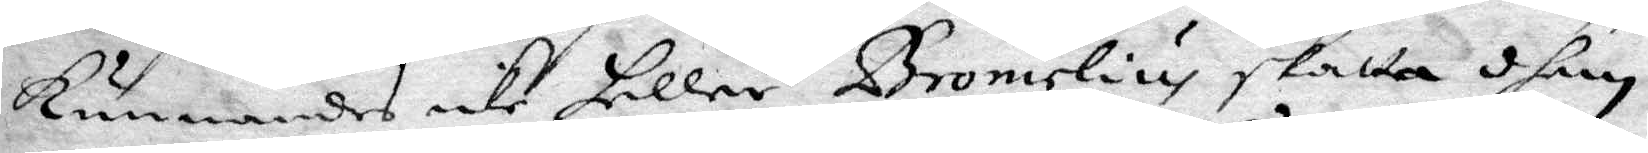Kunnades icke heller Bromeliu skatta dhem
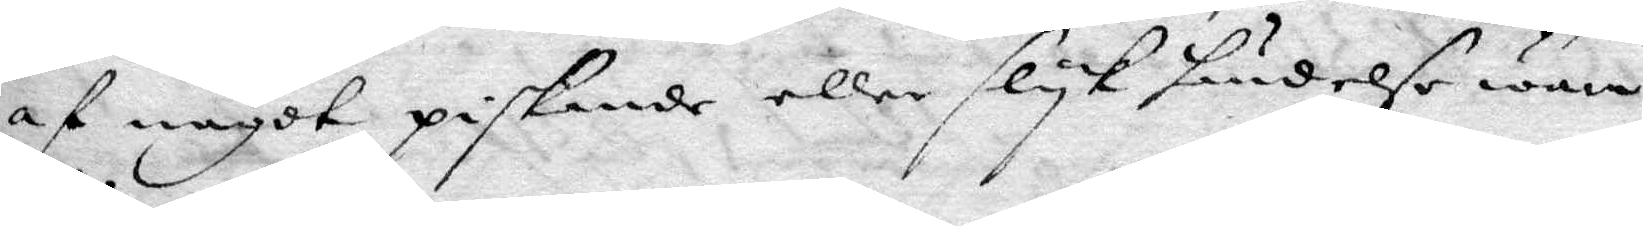af något piskande eller slyk händelse wara
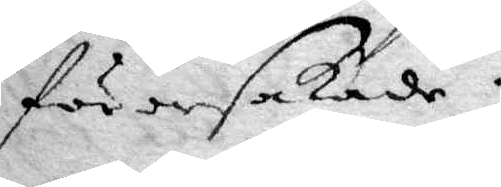förorsakade.
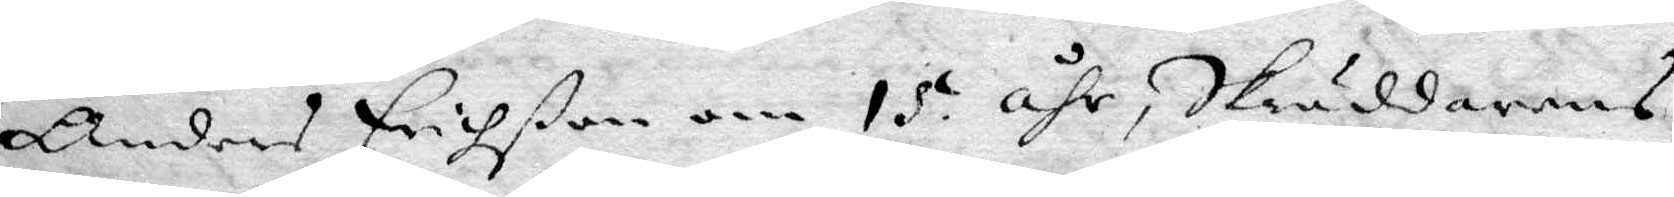Anders Erichßon om 15 åhr, Skräddarens
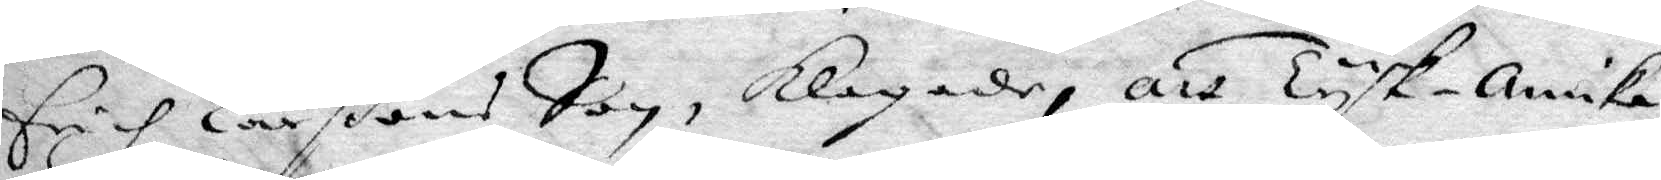Erich Larßons Son, Klagade, att Tysk-annika
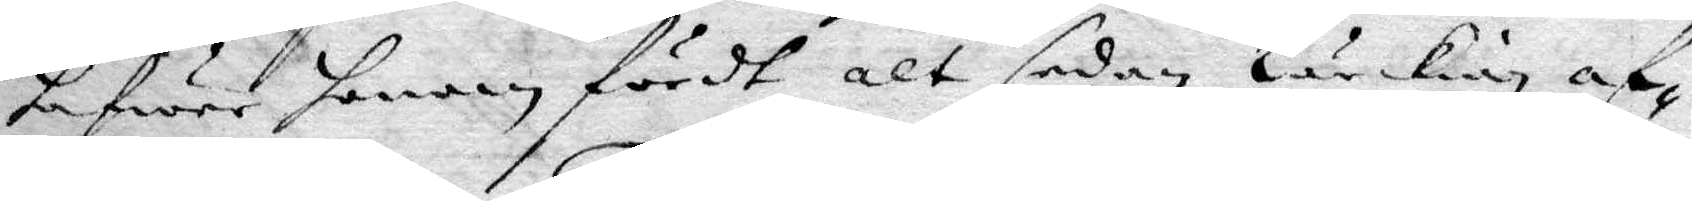hafwer honom fördt alt sedan Lärkian af¬
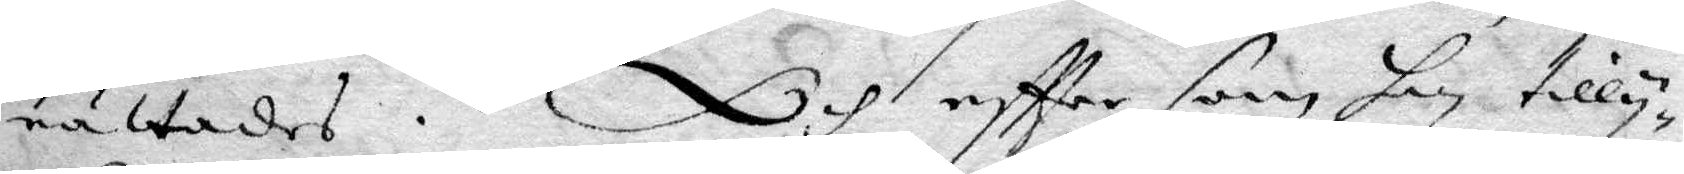rättades. Och eftter soom hon tilly¬
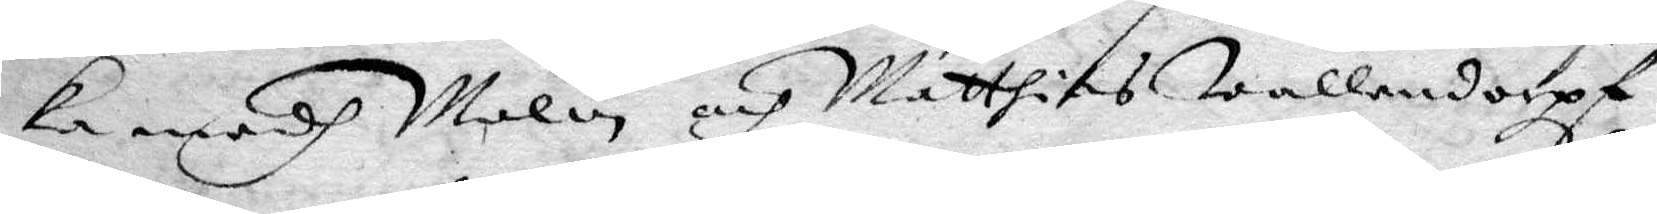ka medh Malin och Matthias Wallendorpf
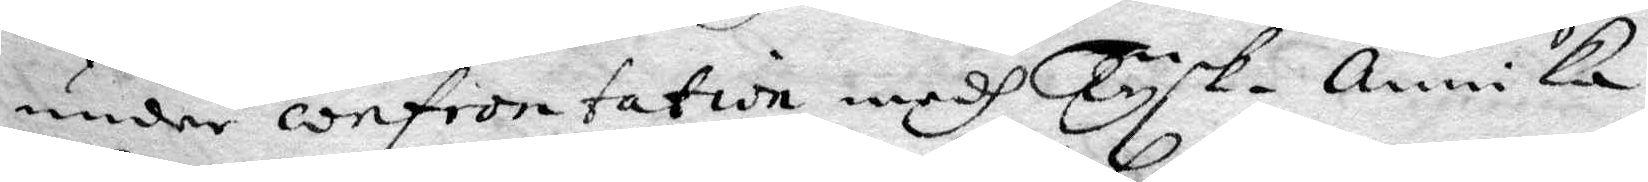under confrontation medh Tysk-annika
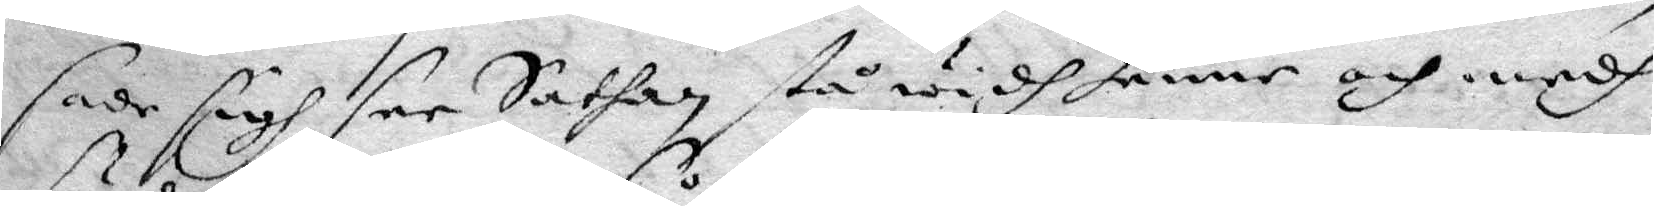sade sigh see Sathan stå widh henne och medh
